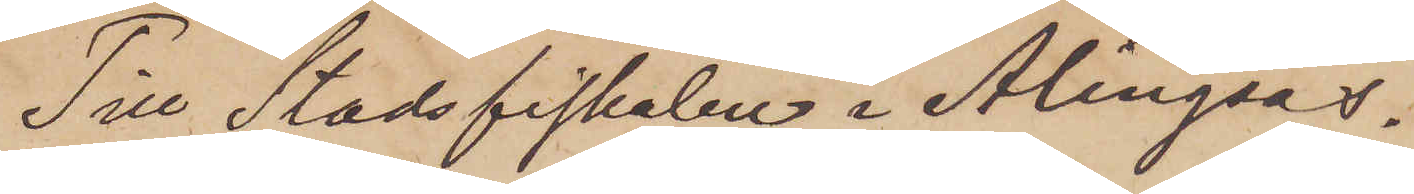Till Stadsfiskalen i Alingsås.
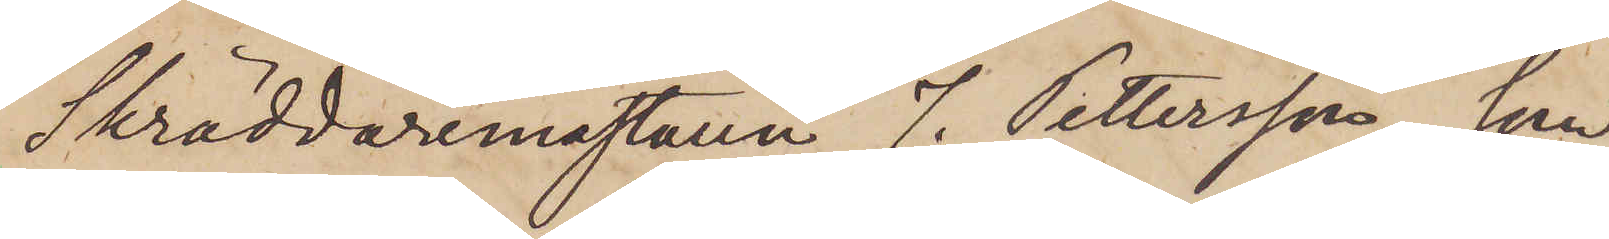Skräddaremästaren J. Pettersson, som
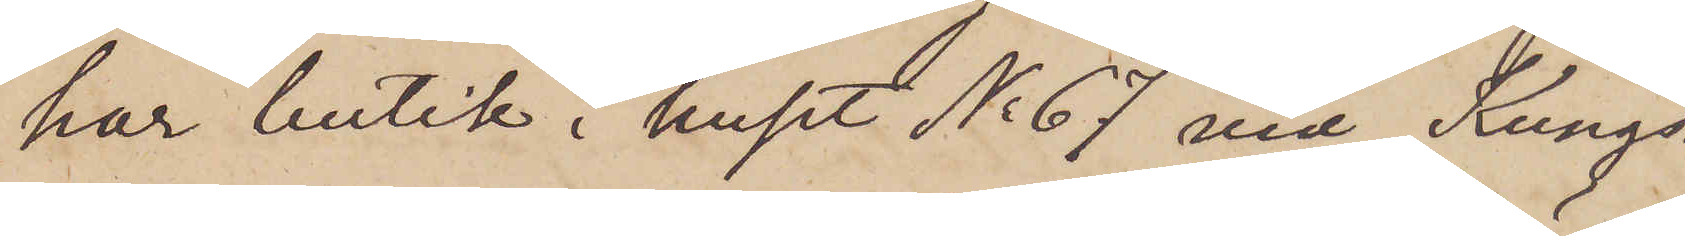har butik i huset No 67 vid Kungs¬
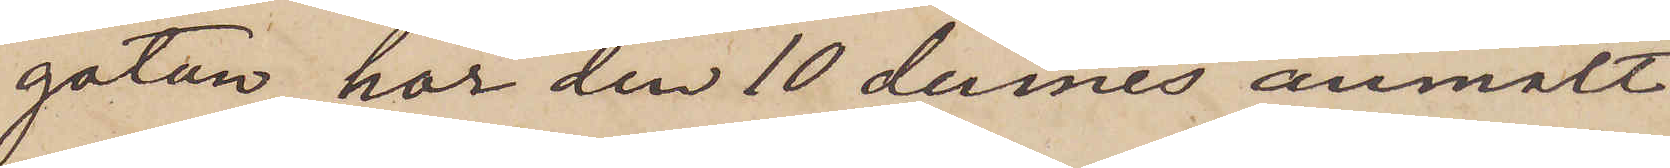gatan, har den 10 dennes anmält
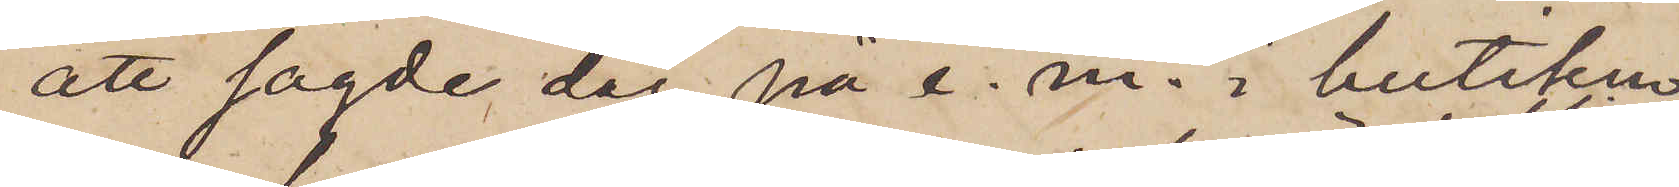att sagde dag på e. m. i butiken
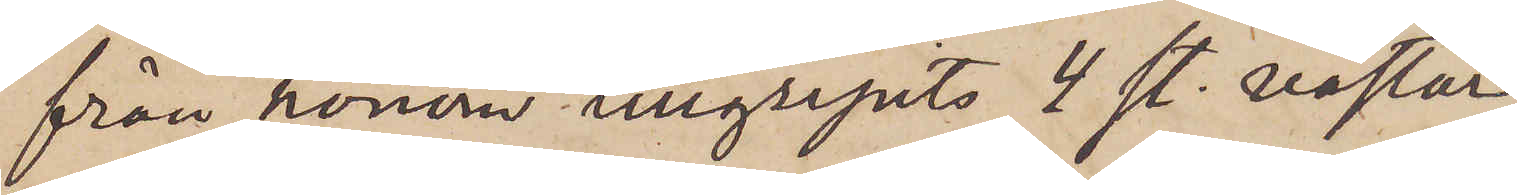från honom tillgripits 4 st. västar,
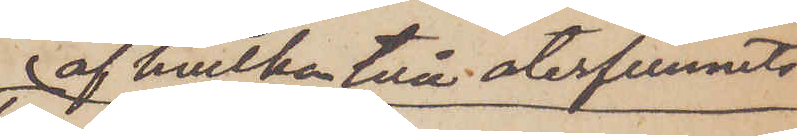 af hvilka två återfunnits
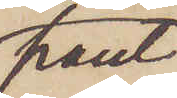pant¬
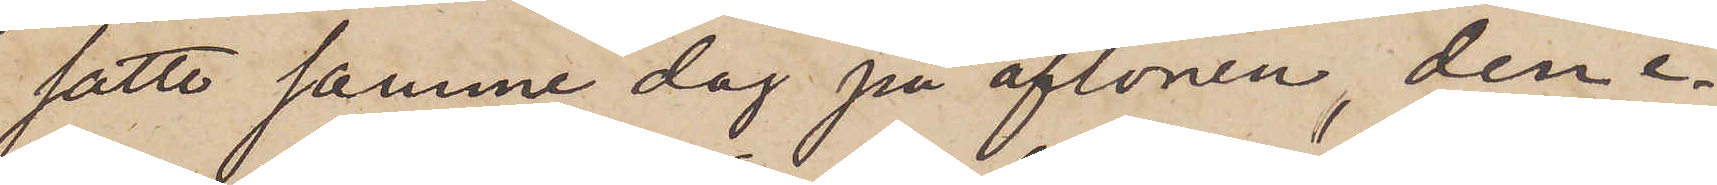satte samme dag på aftonen, den e¬
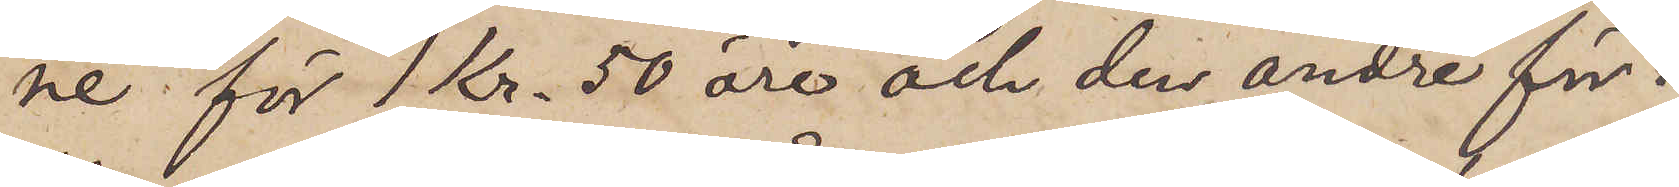ne för 1 Kr. 50 öre och den andre för 1
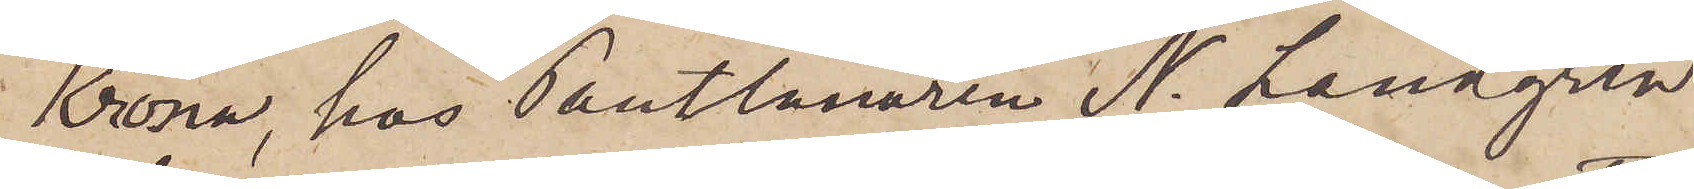Krona, hos Pantlånaren N. Landgren
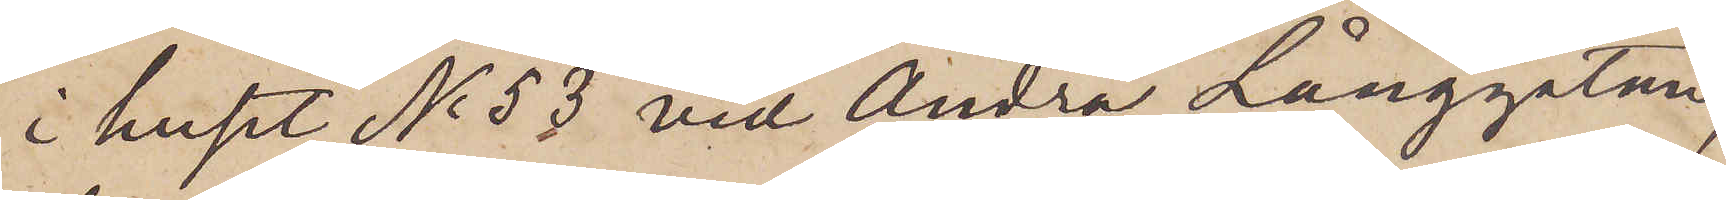i huset No 53 vid Andra Långgatan,
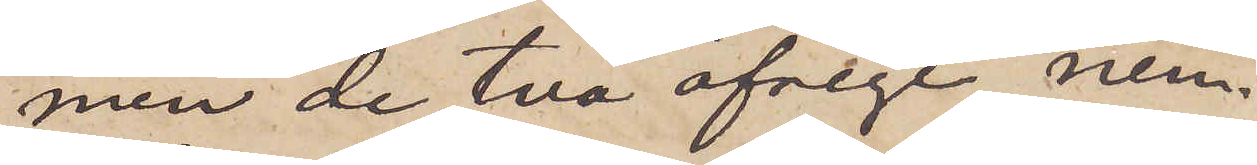men de två öfrige, nem¬
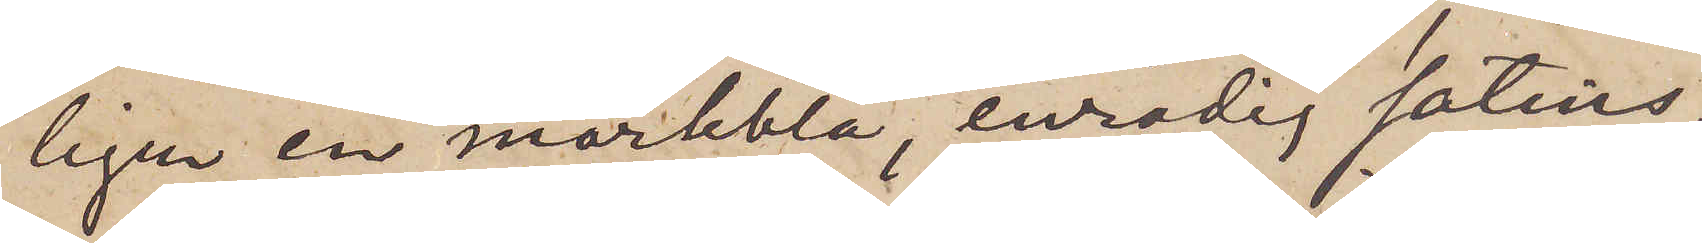ligen en mörkblå, enradig satins¬
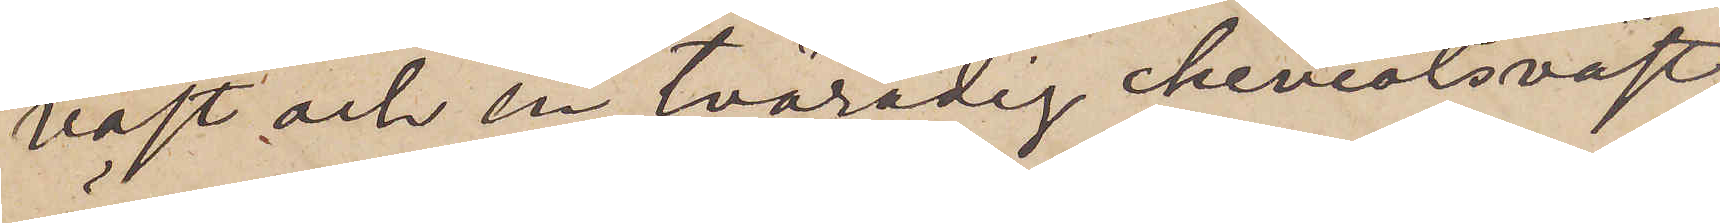väst och en tvåradig cheviotsväst,
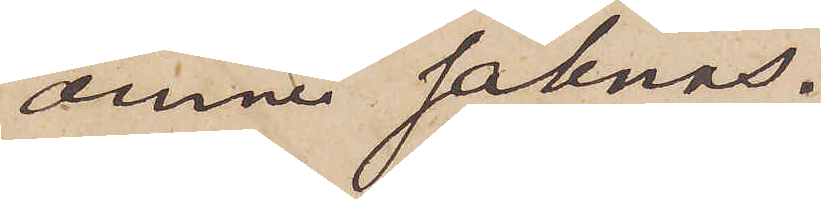ännu saknas.
